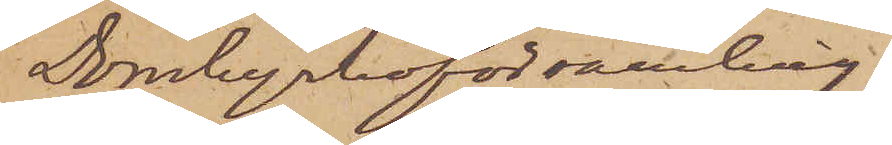Domkyrkoförsamling;
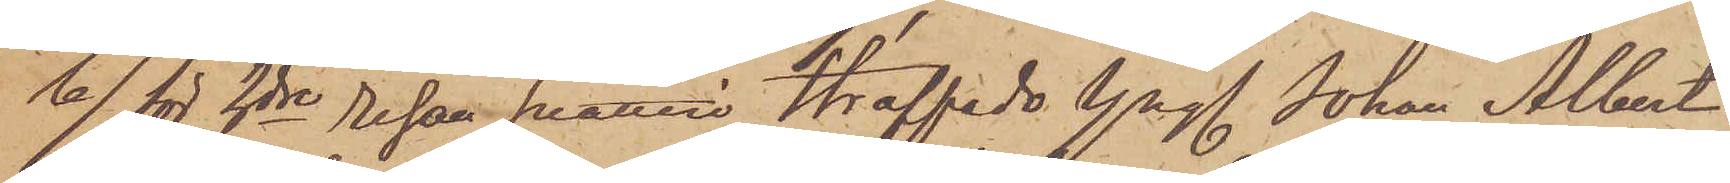b) för 2dre resan snatteri Straffade Yngl Johan Albert
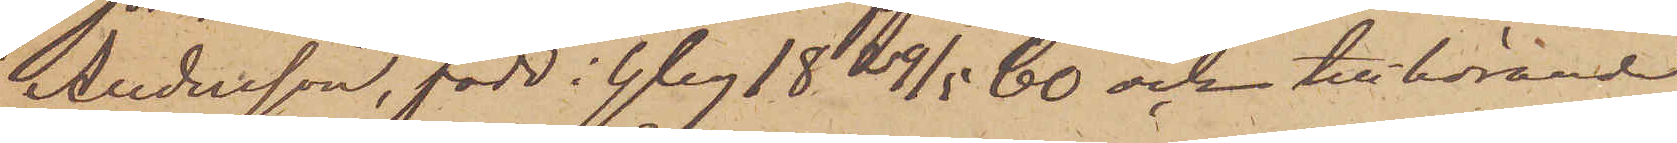Andersson, född i Gbg 18 29/5 60 och tillhörande
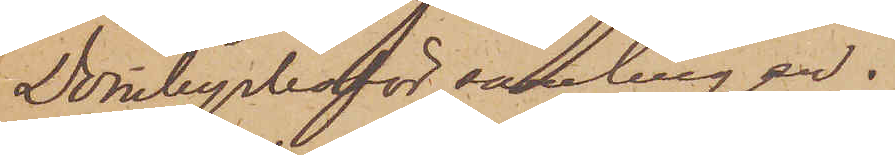Domkyrkoförsamlingen.
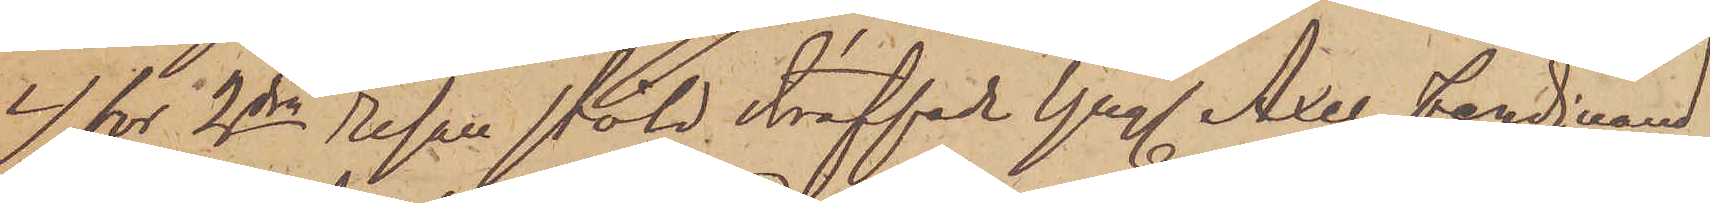c) for 2dra resan stöld straffade Yngl Axel Ferdinand
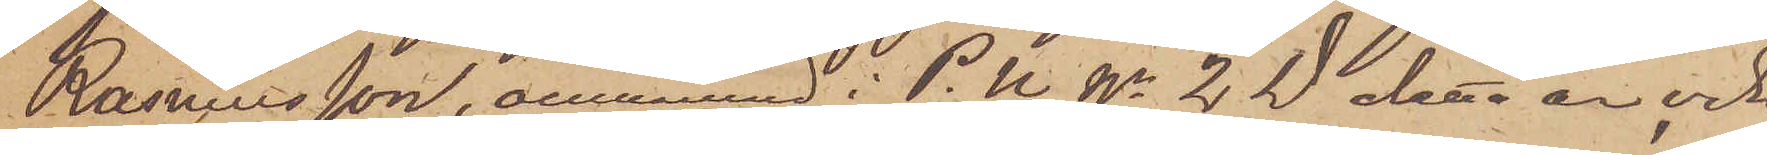Rasmusson, omnämnd i P.U No 2 D detta år,och
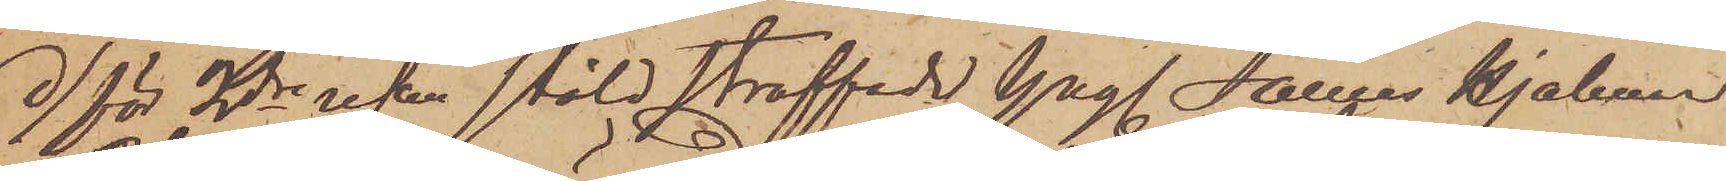d) för 2dra resan stöld straffade Yngl. James Hjalmar
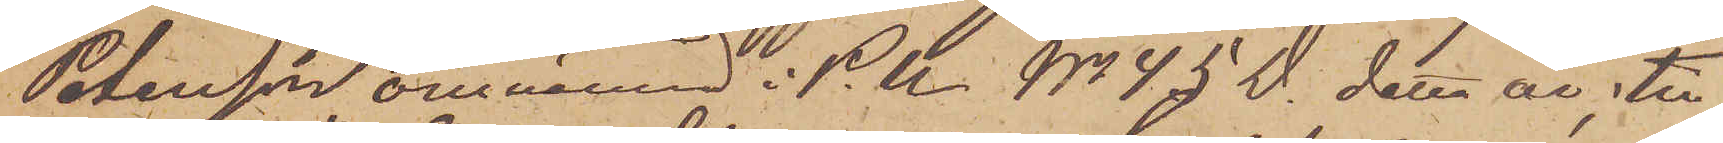Petersson omnämnd i P.U No 45 D. detta år; till¬
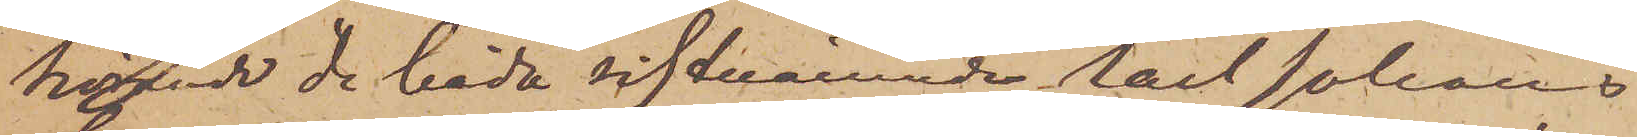hörade de båda sistnämnde Carl Johans
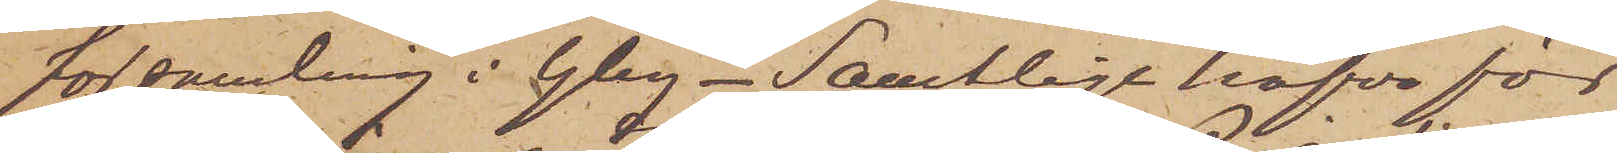församling i Gbg - Samtlige hafva för
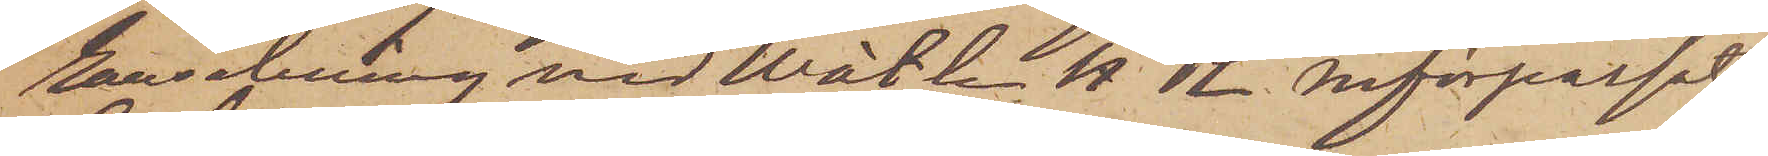ransakning vid Wätle H R införpassats
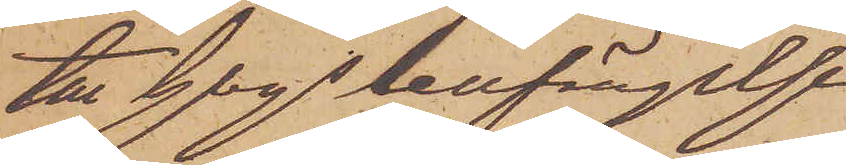till Gbgs cellfängelse.
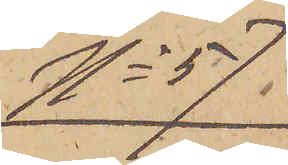No 57
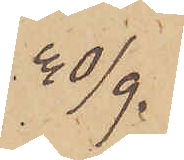30/9.
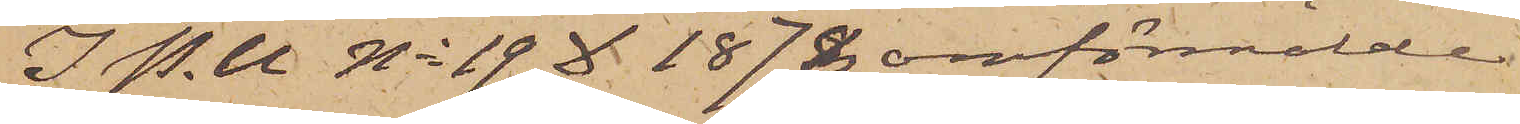I. P. U. No 19 D 1878 omförmälde
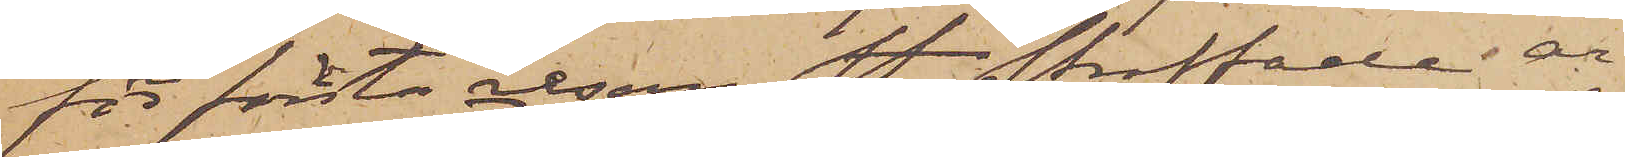för första resan st. straffade ar¬
